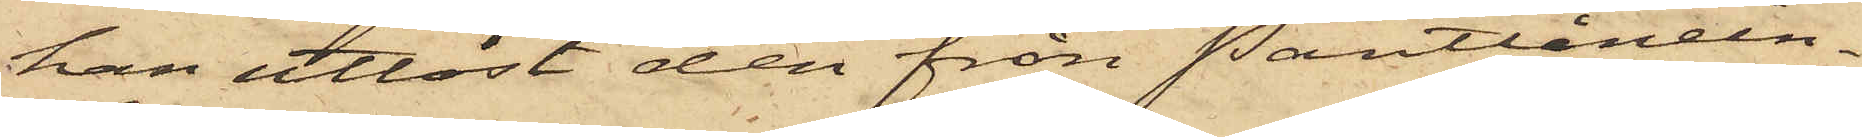han utlöst den från Pantlånein¬
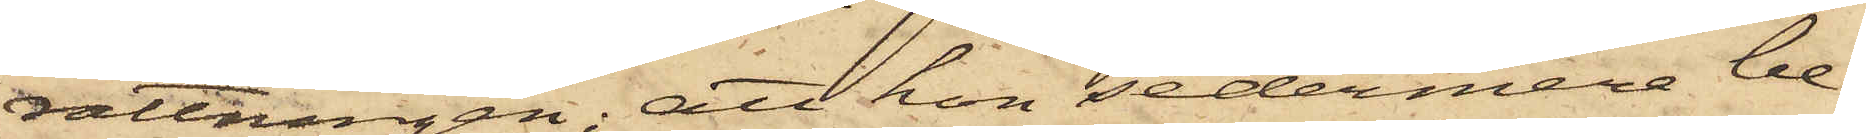rättningen; att hon sedermera be¬
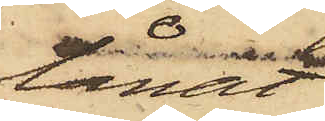lånat
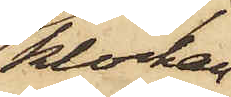klockan
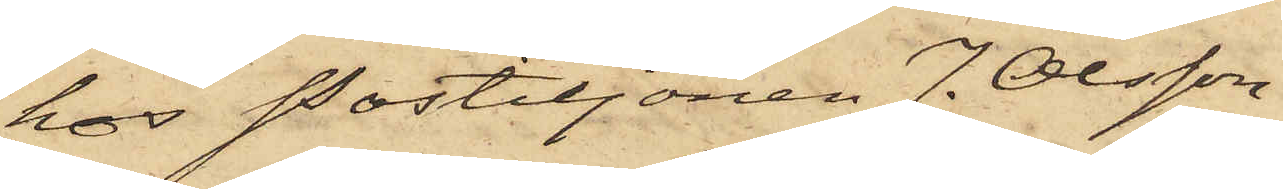hos Postiljonen J. Olsson
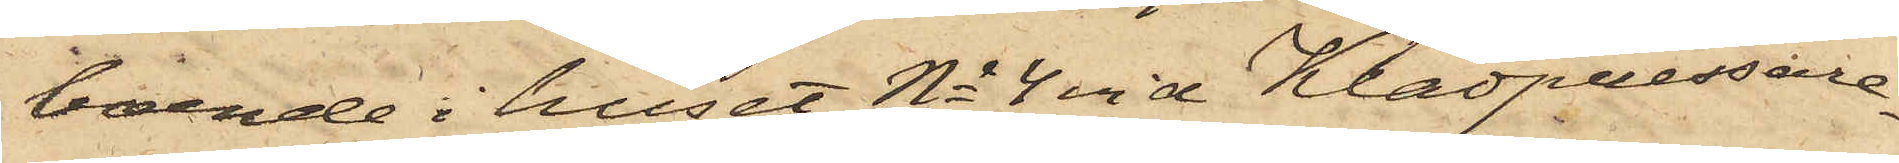boende i huset No 4 vid Klädpressare¬
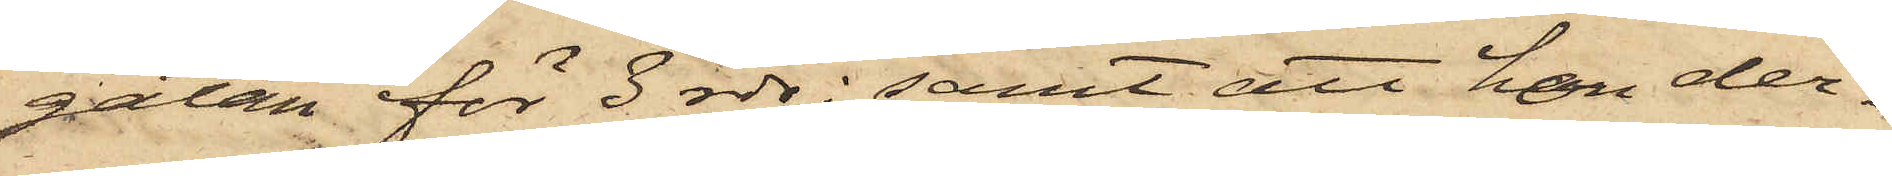gatan för 3 rdr; samt att hon der¬
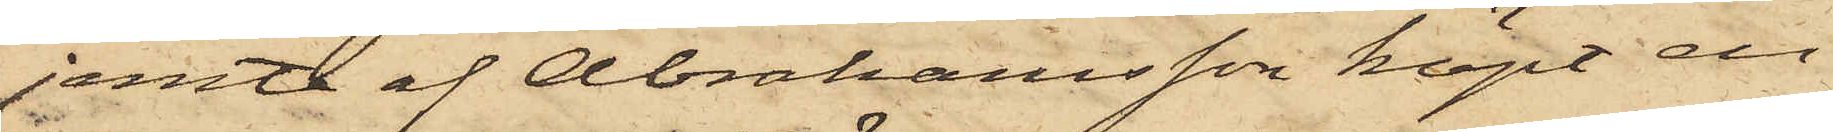jemte af Abrahamsson köpt en
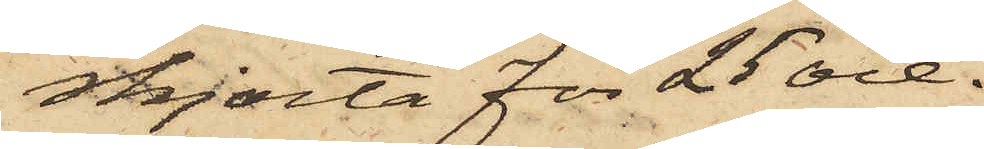skjorta för 25 öre.
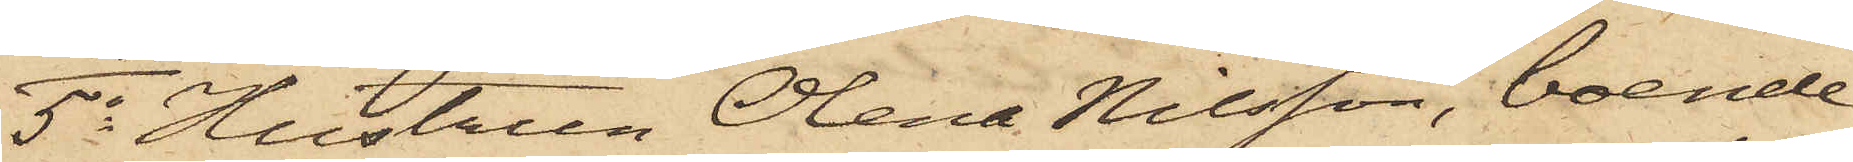5o Hustrun Olena Nilsson, boende
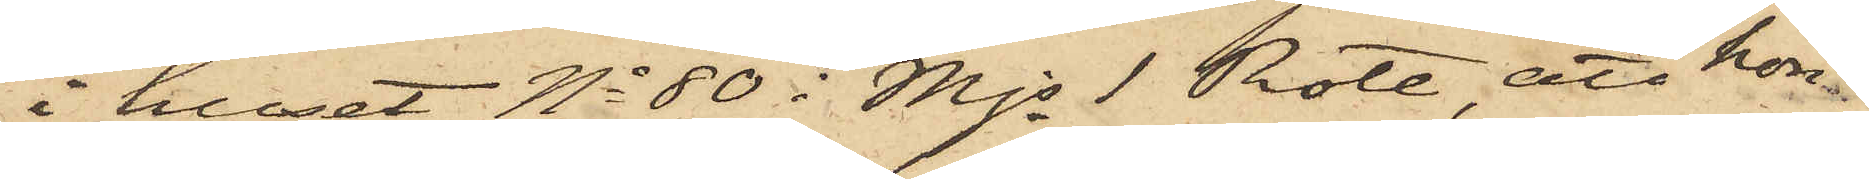i huset No 80 i Mjs 1 Rote, att hon
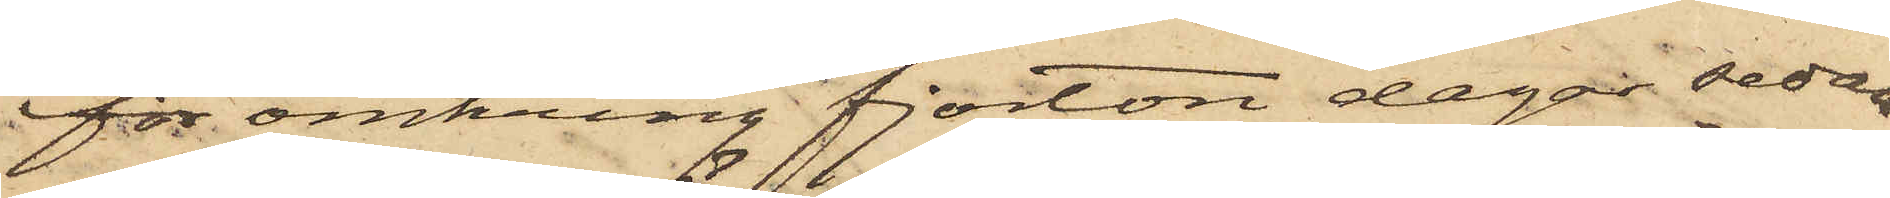för omkring fjorton dagar sedan
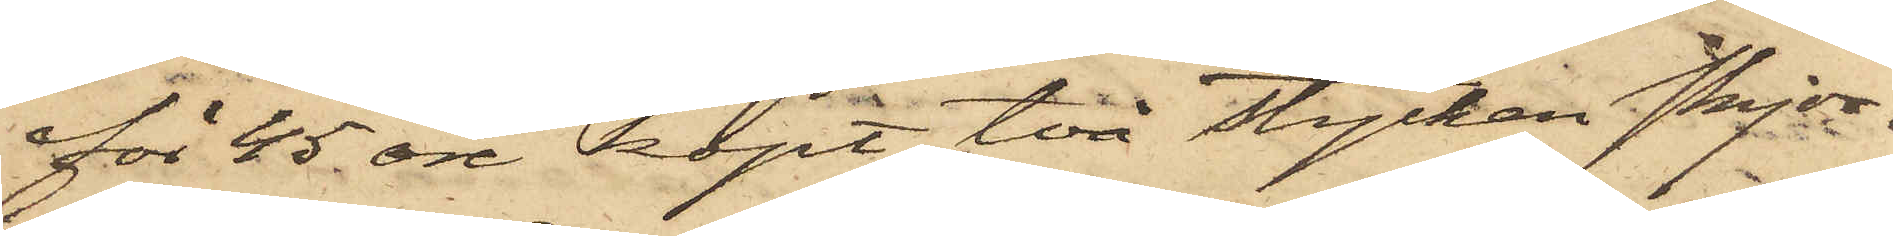för 45 öre köpt två stycken skjor¬
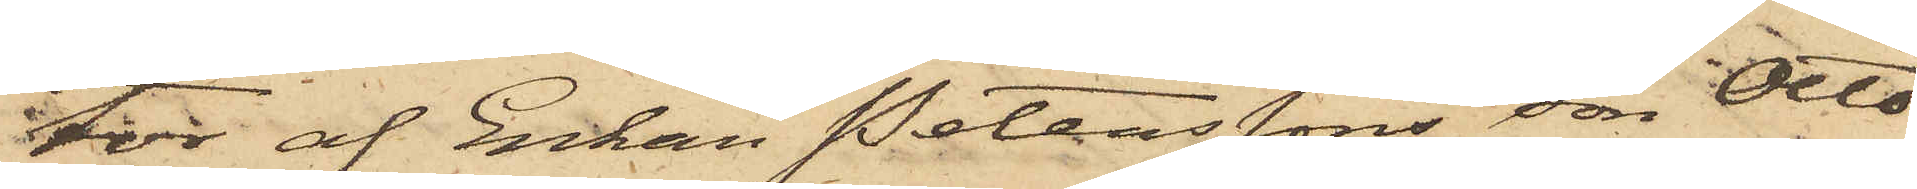tor af Enkan Peterssons son Otto
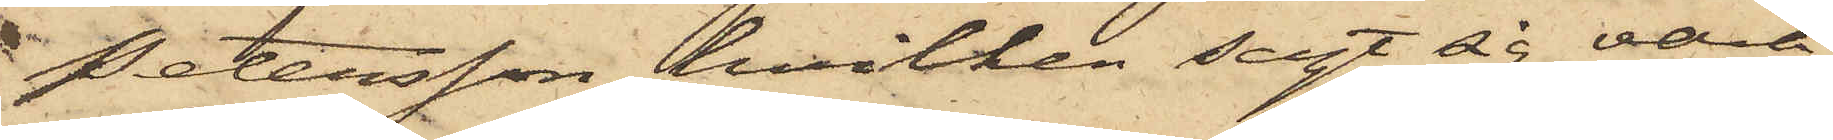Petersson hvilken sagt sig vara
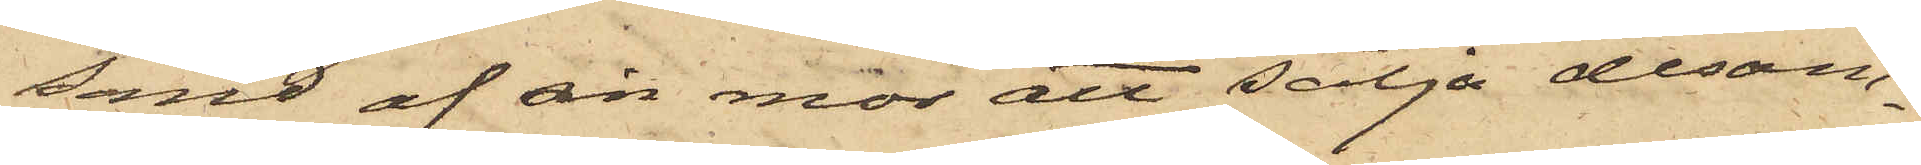sänd af sin mor att sälja desam¬
